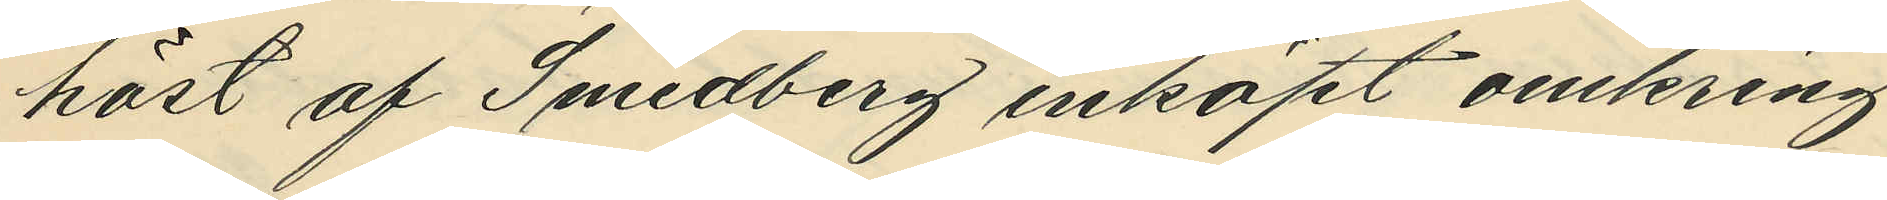höst af Smedberg inköpt omkring
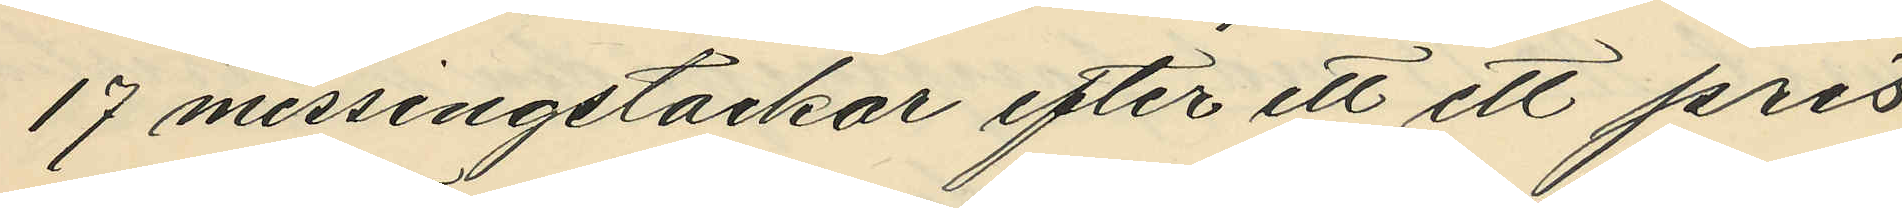17 messingstackor efter ett ett pris
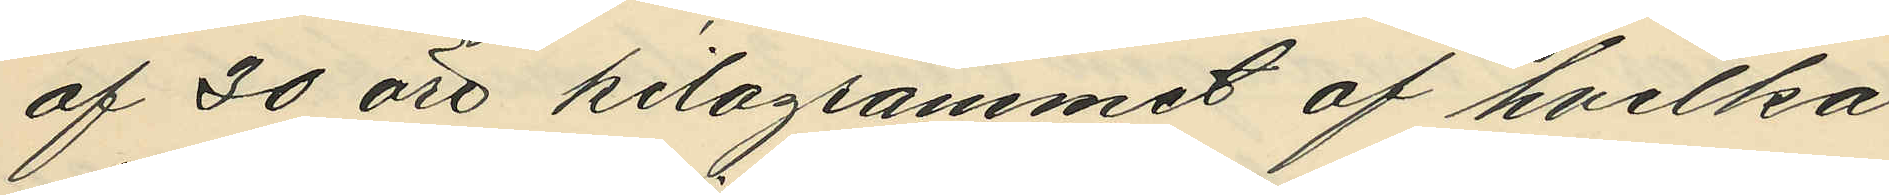af 30 öre kilogrammet af hvilka
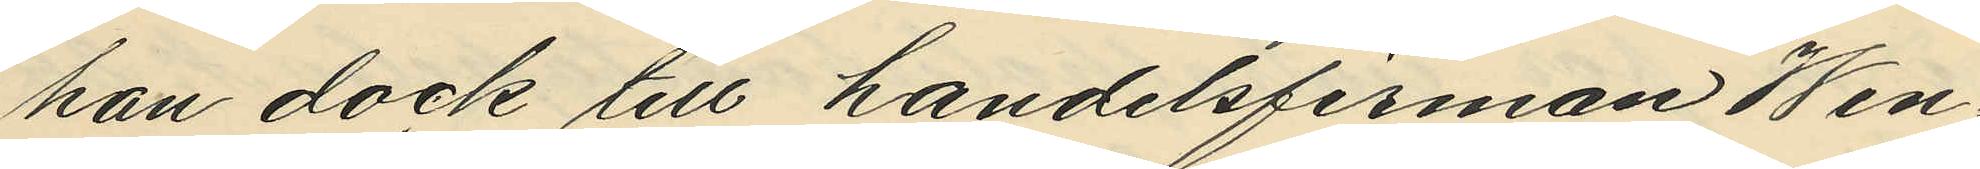han dock till handelsfirman Wen¬
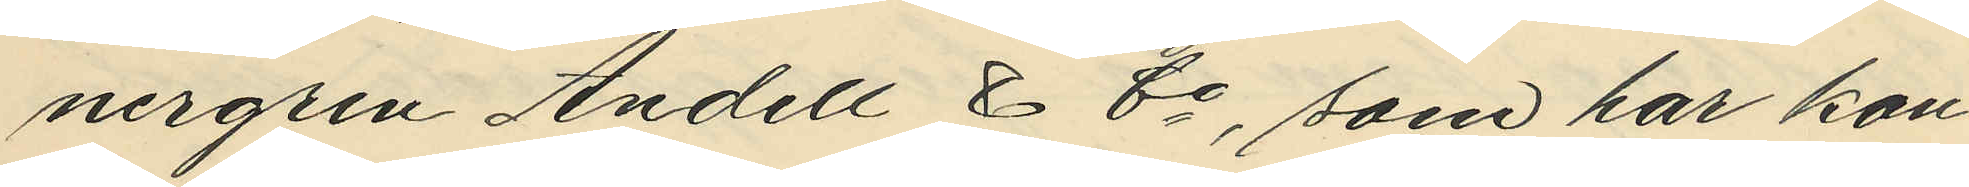nergren Andell & Co, som har kon¬
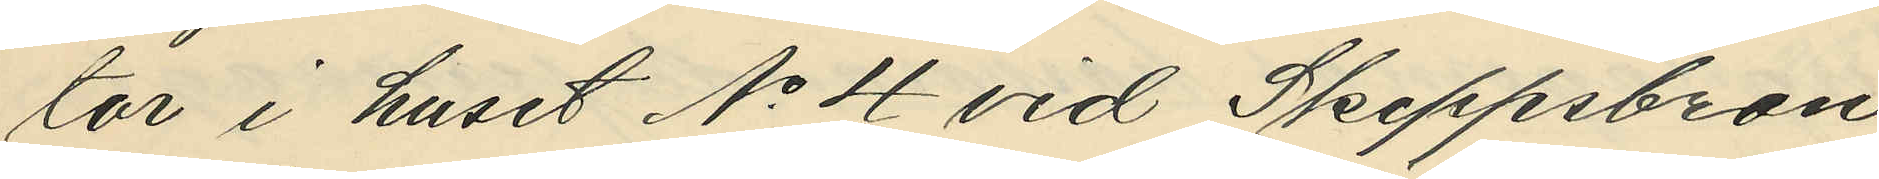tor i huset No 4 vid Skeppsbron
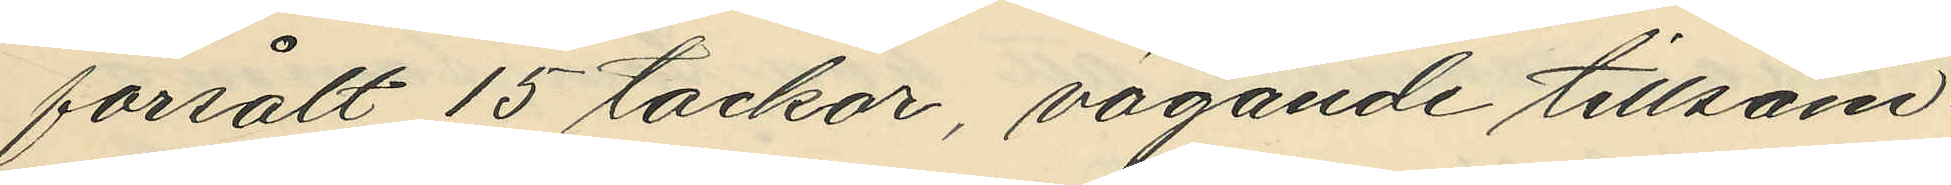försålt 15 tackor, vägande tillsam¬
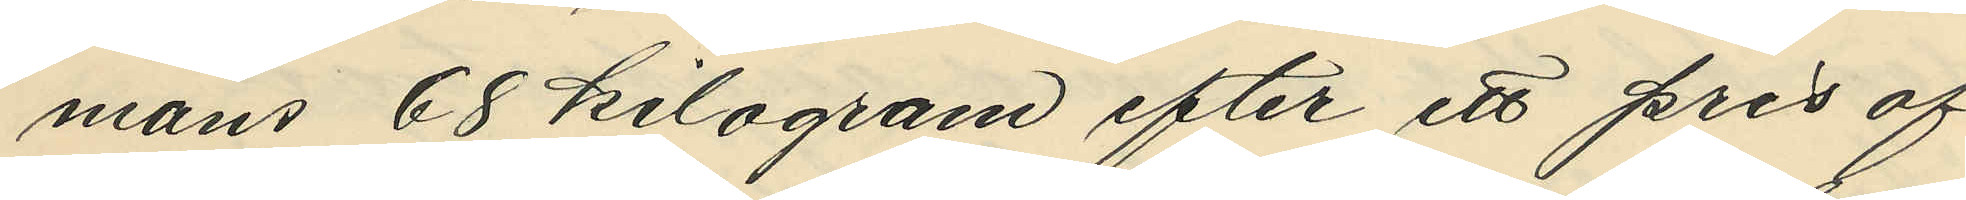mans 68 kilogram efter ett pris af
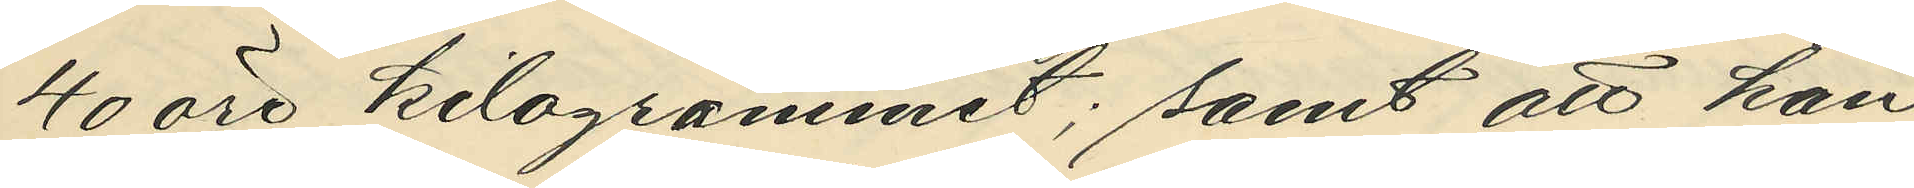40 öre kilogrammet; samt att han
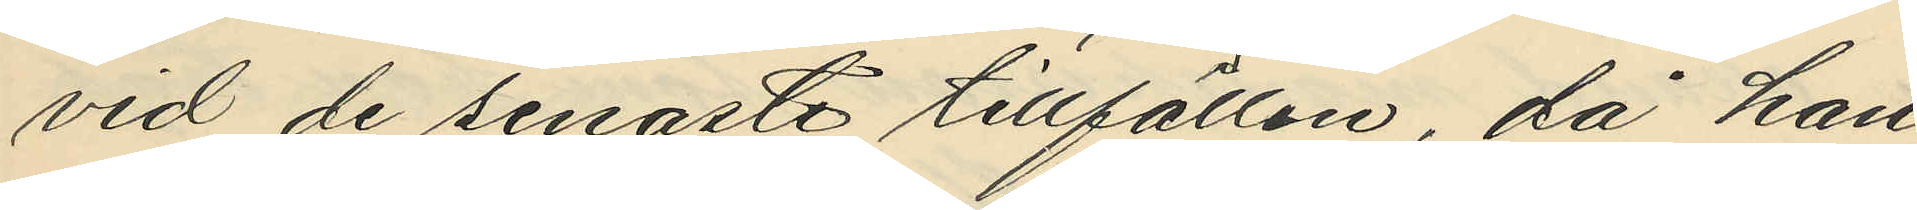vid de senaste tillfällen, då han
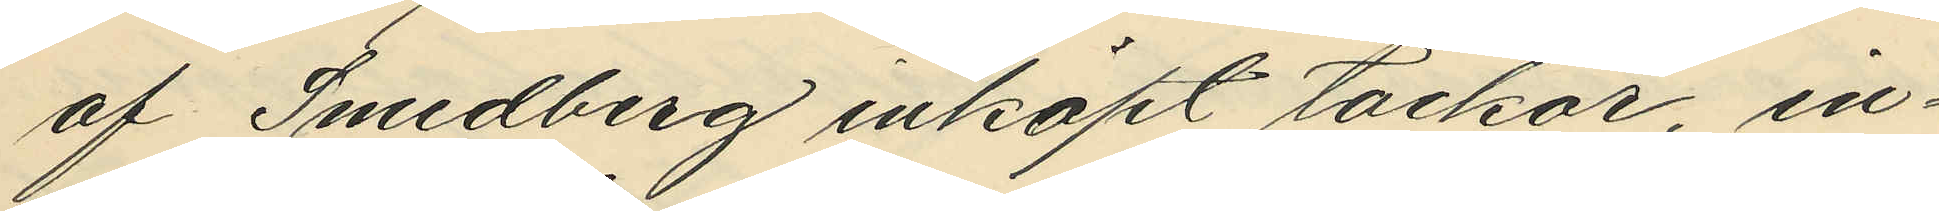af Smedberg inköpt tackor, in¬
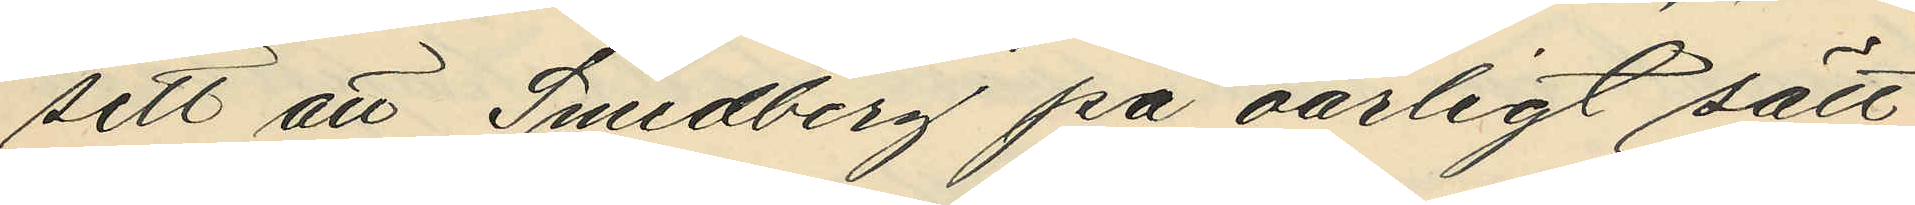sett att Smedberg på oärligt sätt
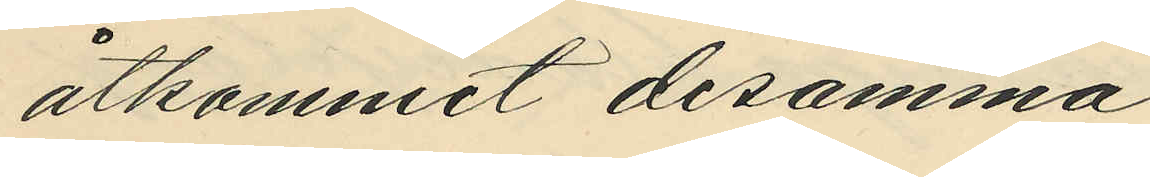åtkommit desamma
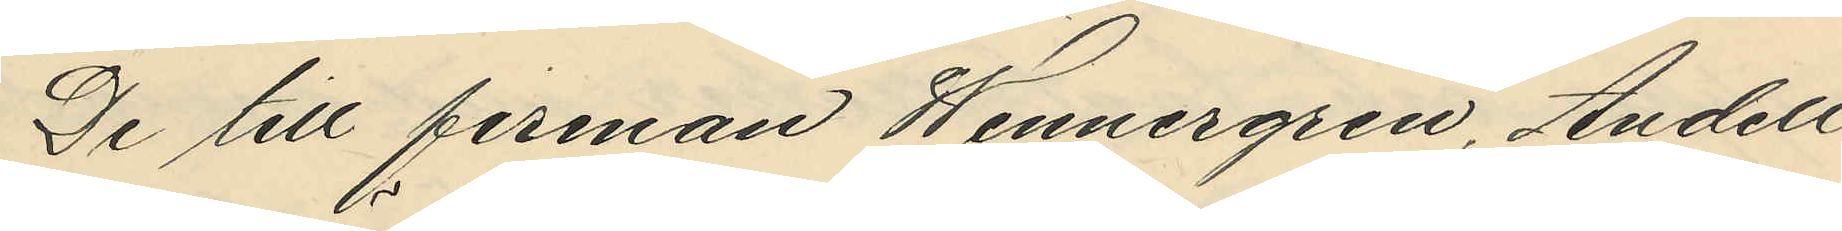De till firman Wennergren, Andell
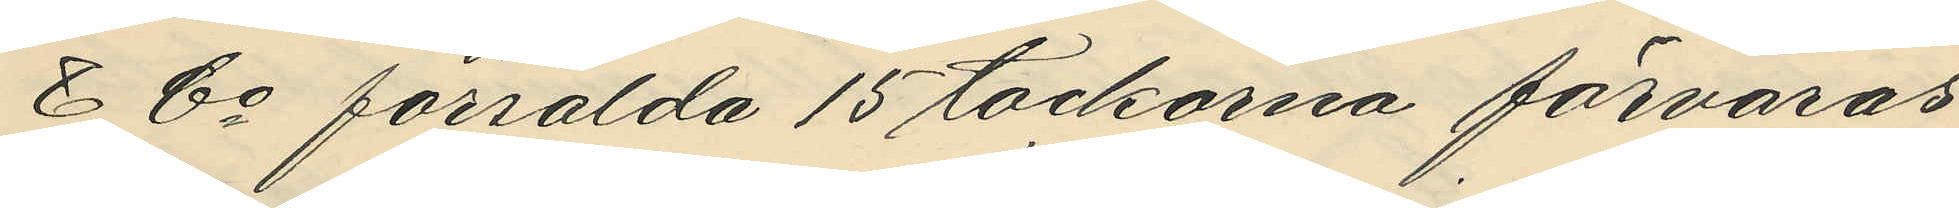& Co försålda 15 tackorna förvaras
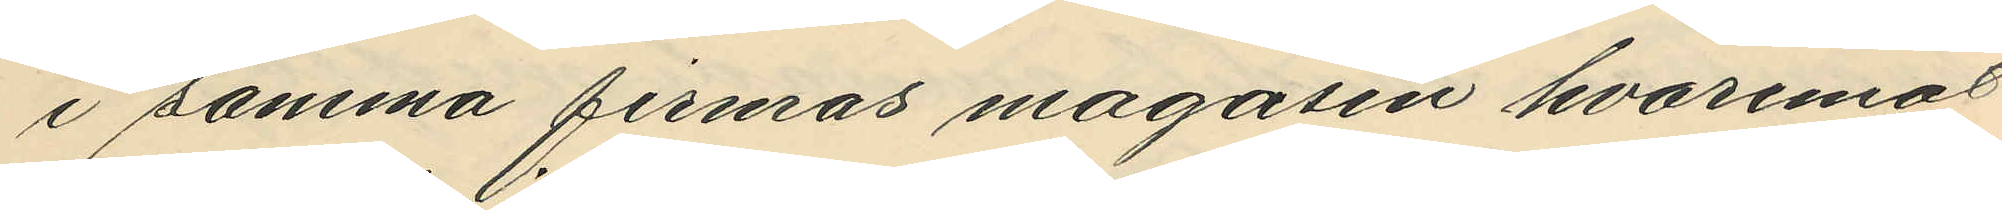i samma firmas magasin hvaremot
